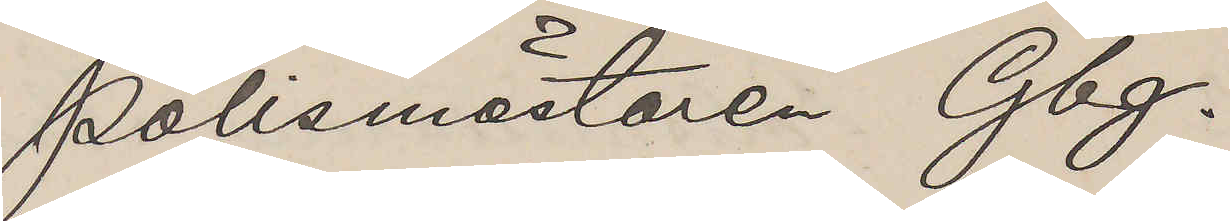Polismästaren Gbg.
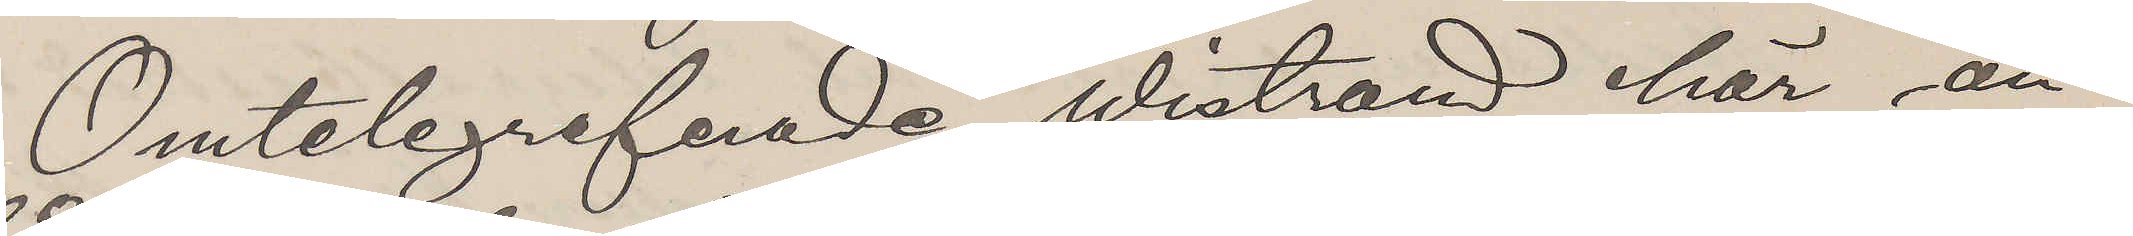Omtelegrefnade Wistrand här an¬
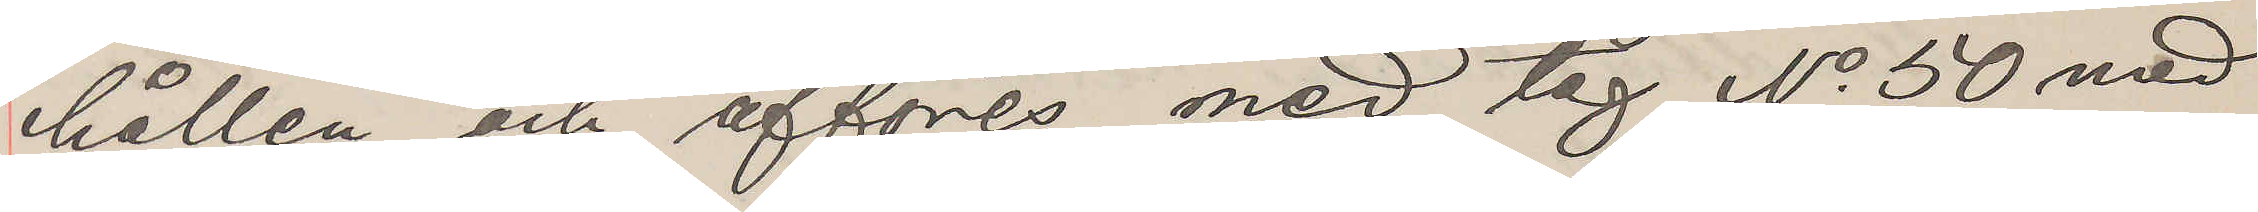hållen och afföres med tåg No 50 med
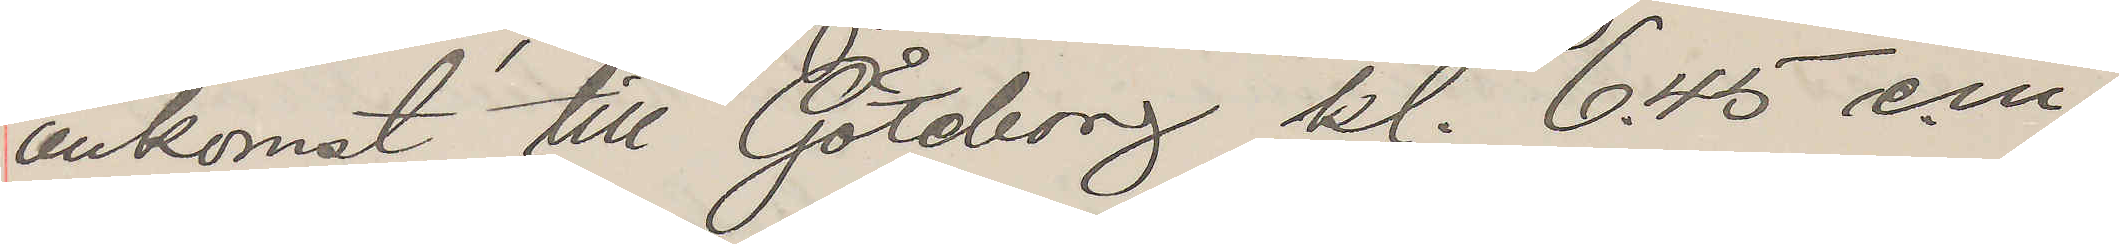ankomst till Göteborg kl. 6.45 e.m.
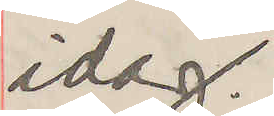idag.
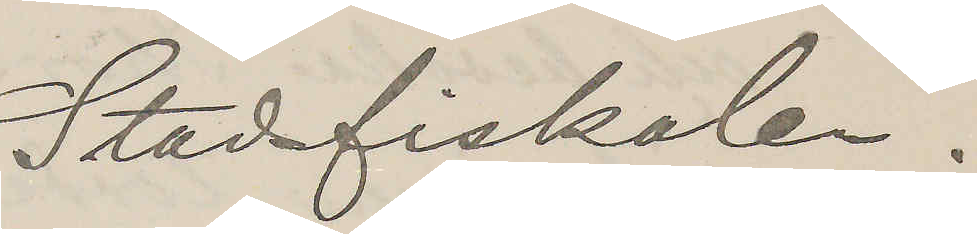Stadsfiskalen.
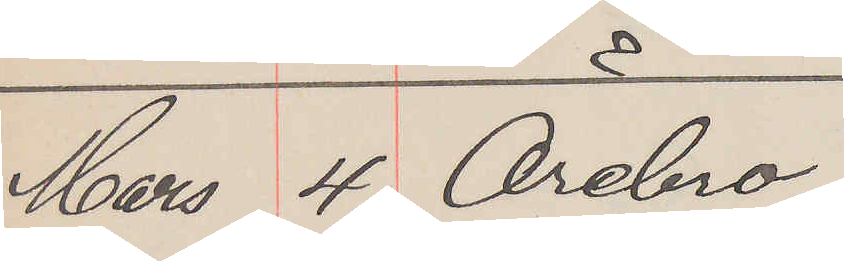Mars 4. Örebro.
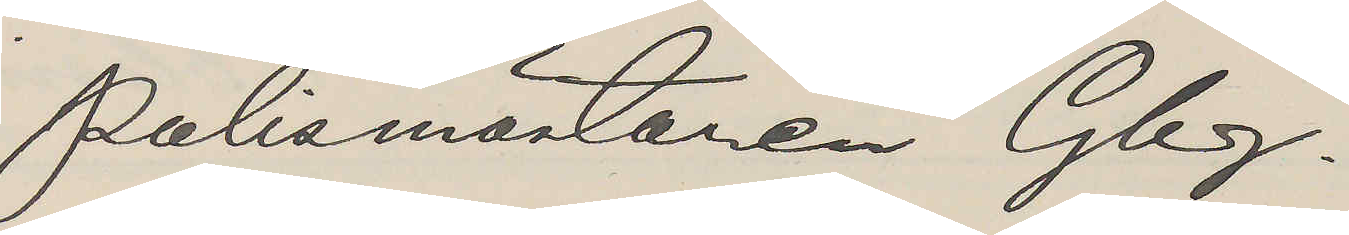Polismästaren Gbg.
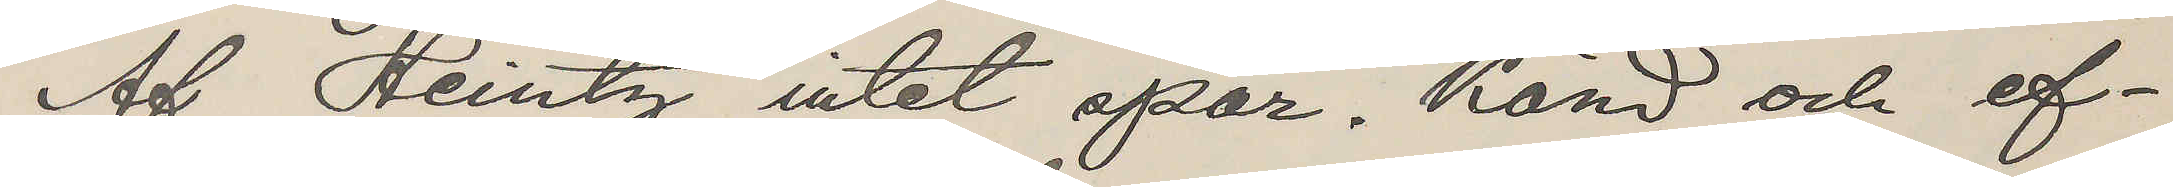Af Heintz intet spår. Känd och ef¬
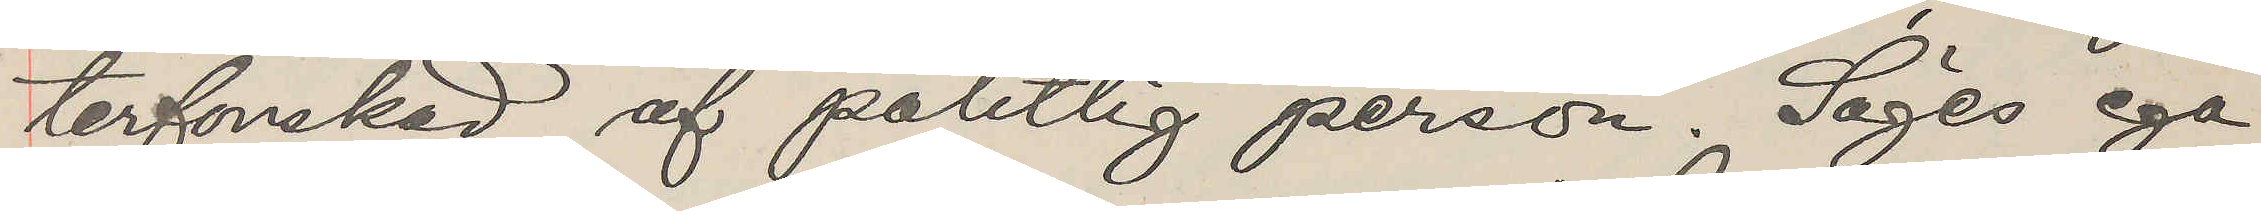terforskad af pålitlig person. Säges ega
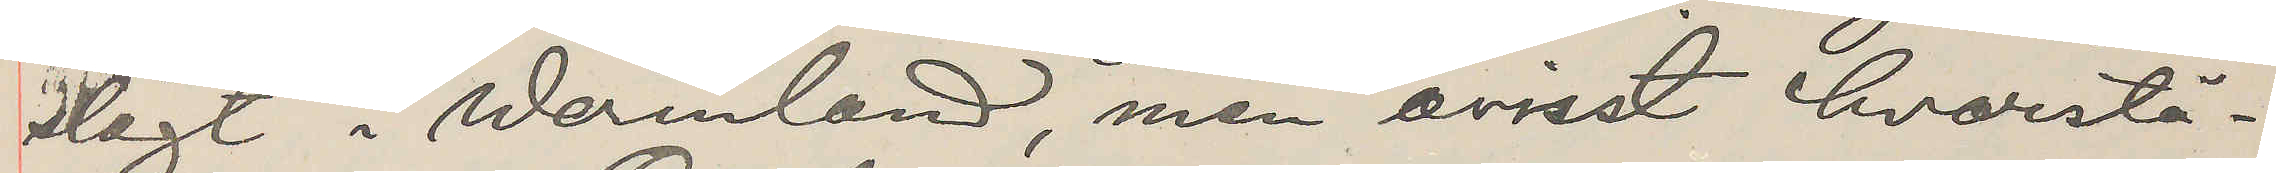slägt i Wermland, men ovisst hvarstä¬
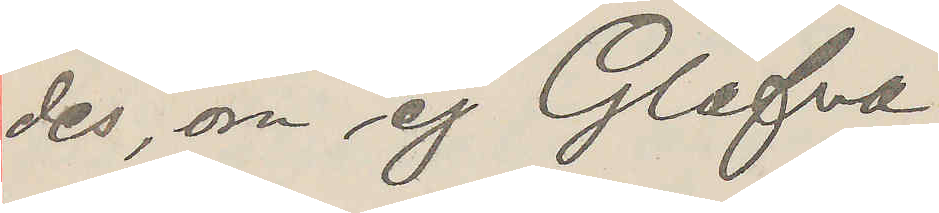des, om ej Glafva.
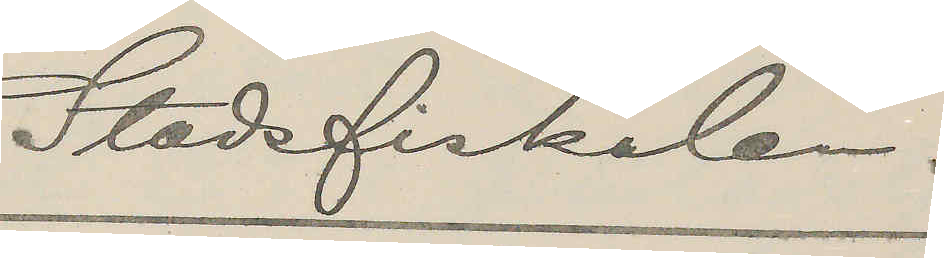Stadsfiskalen.
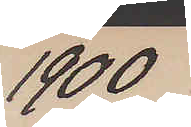1900
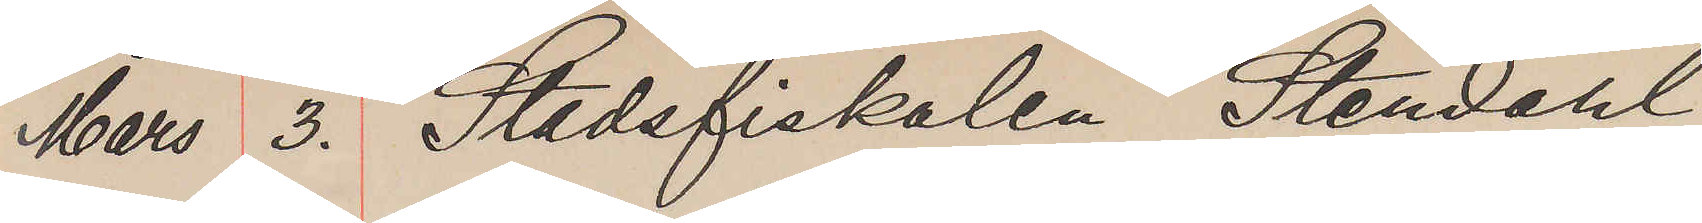Mars 3. Stadsfiskalen Stendahl
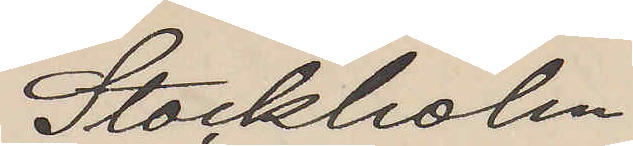Stockholm
